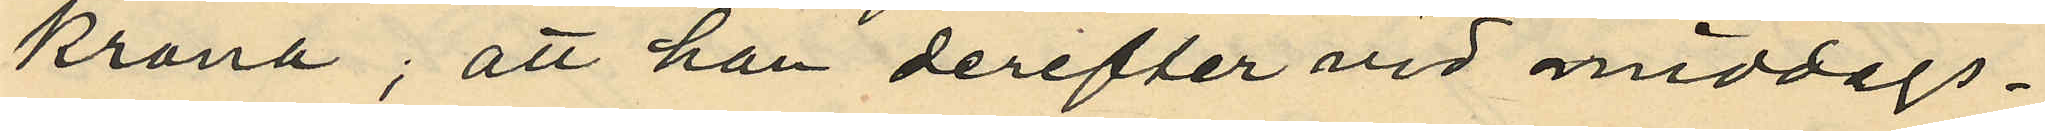krona; att han derefter vid middags¬
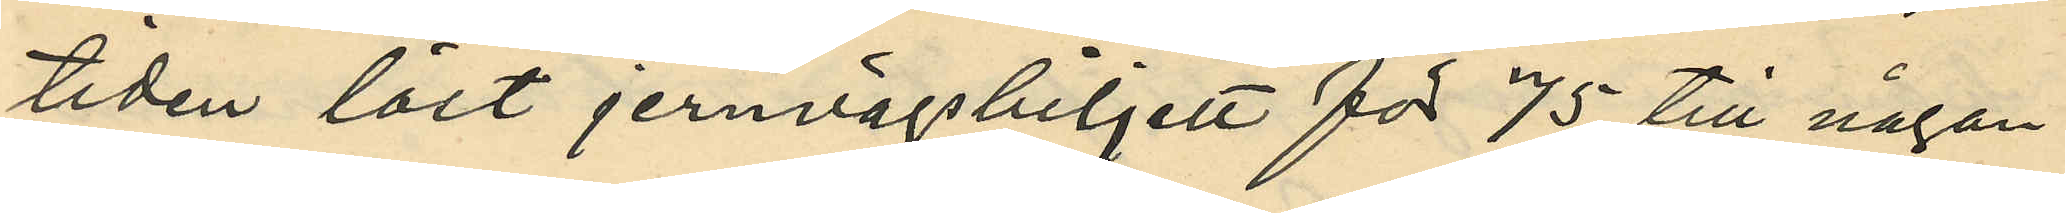tiden löst jernvägsbiljett för 75 till någon
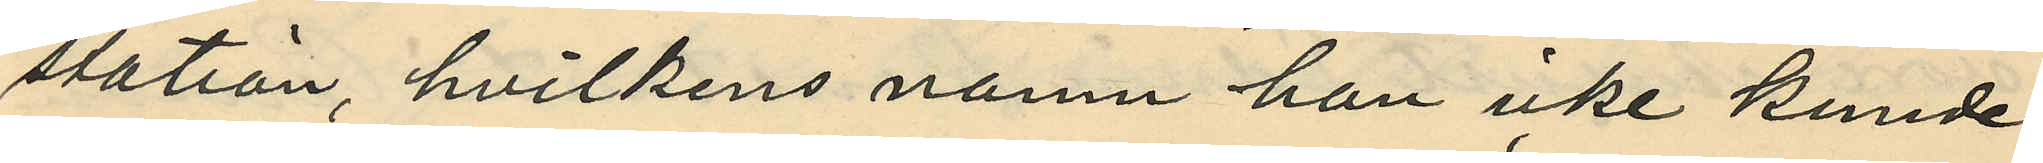station, hvilkens namn han icke kunde
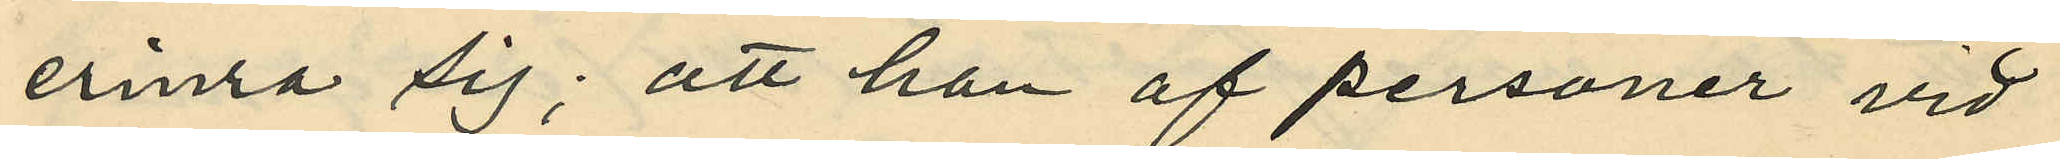erinra sig; att han af personer vid
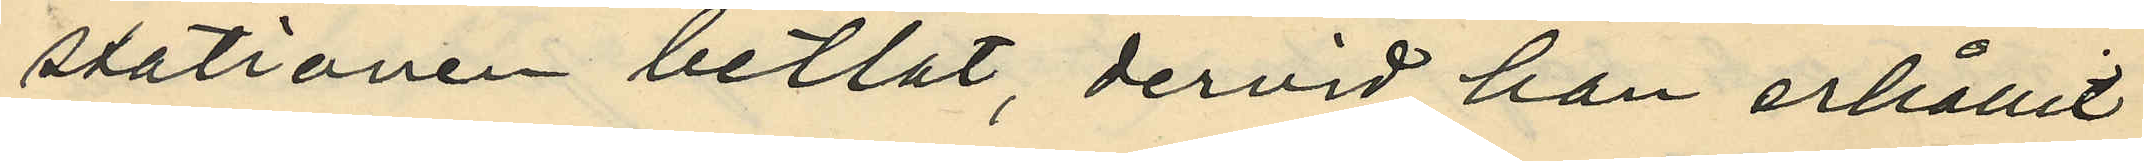stationen betlat, dervid han erhållit
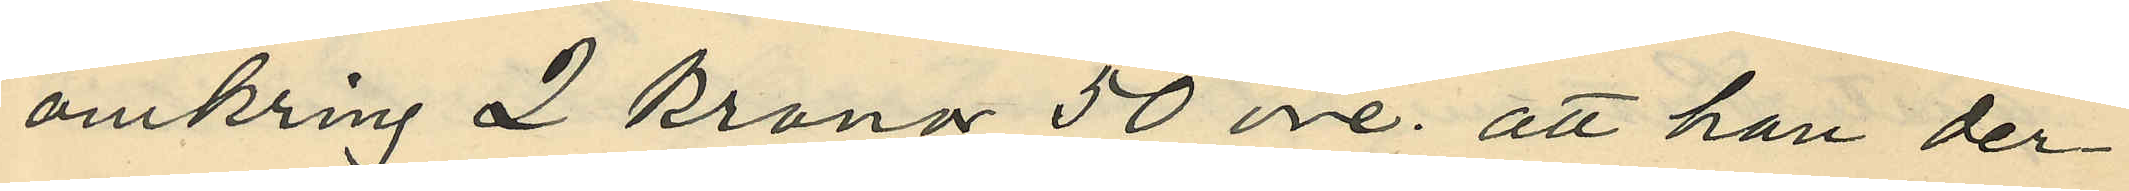omkring 2 kronor 50 öre; att han der¬
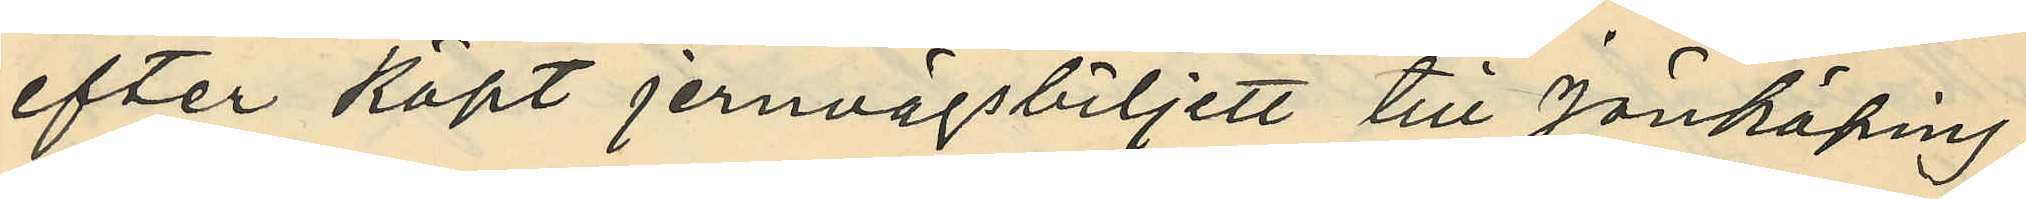efter köpt jernvägsbiljett till Jönköping,
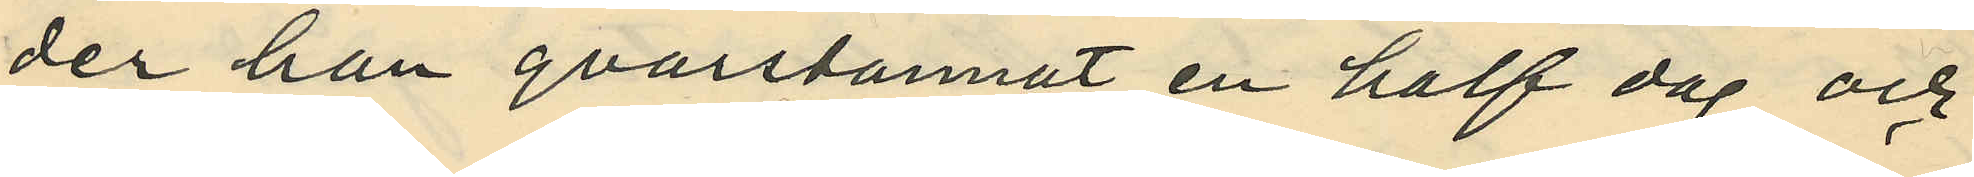der han qvarstannat en half dag och
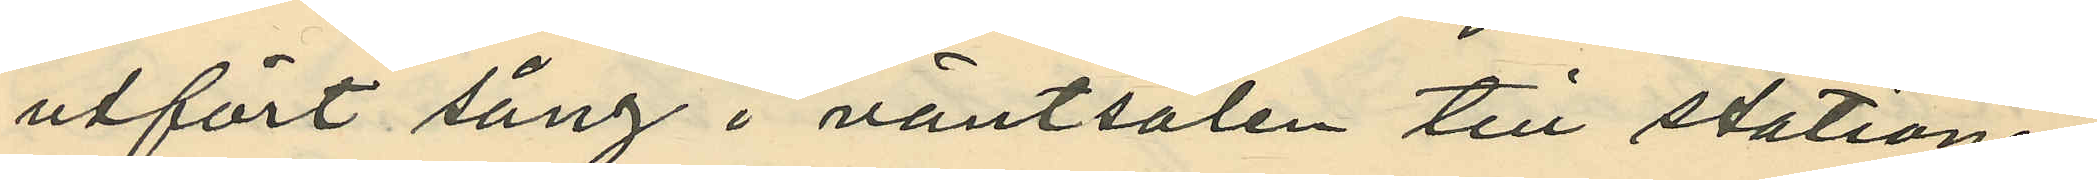utfört sång i väntsalen till stationen,
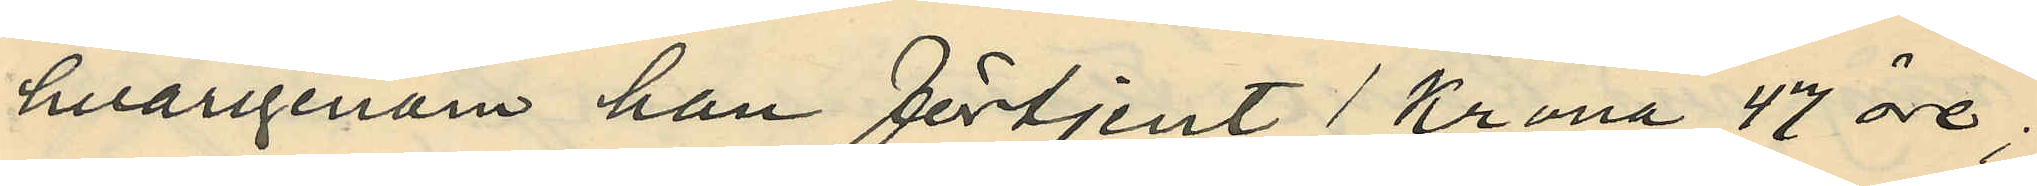hvarigenom han förtjent 1 krona 47 öre;
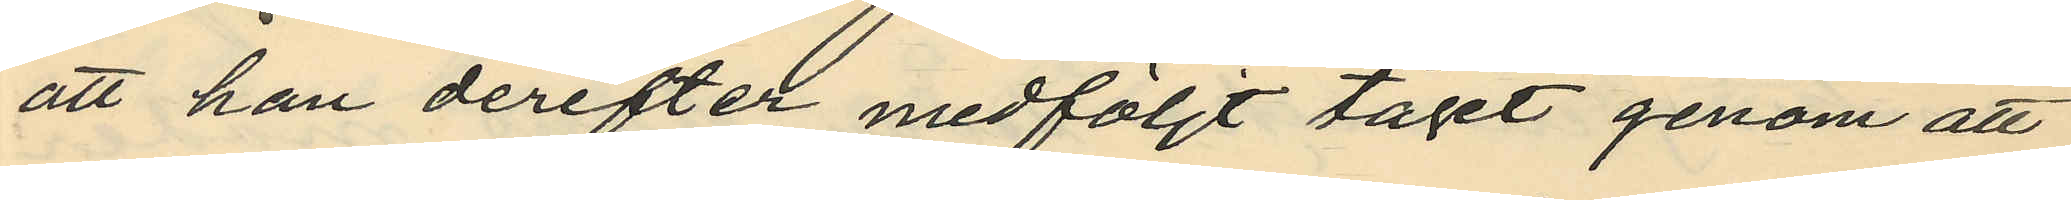att han derefter medföljt tåget genom att
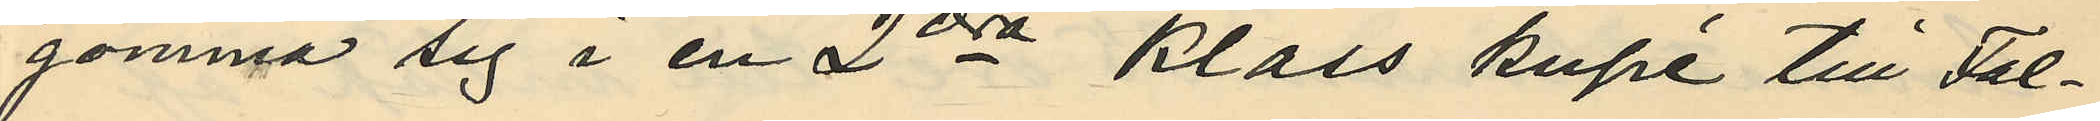gömma sig i en 2dra klass kupé till Fal¬
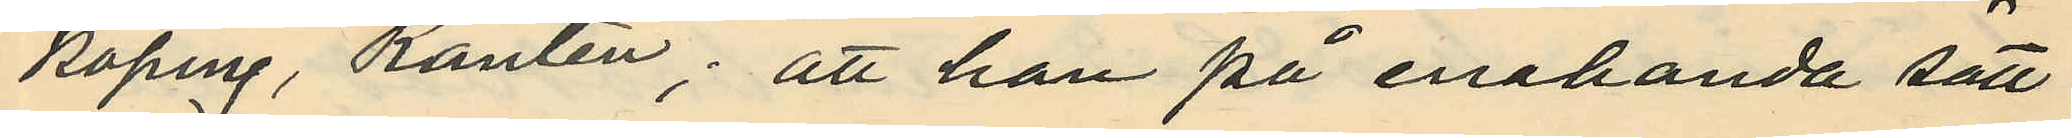köping, Ranten; att han på enahanda sätt
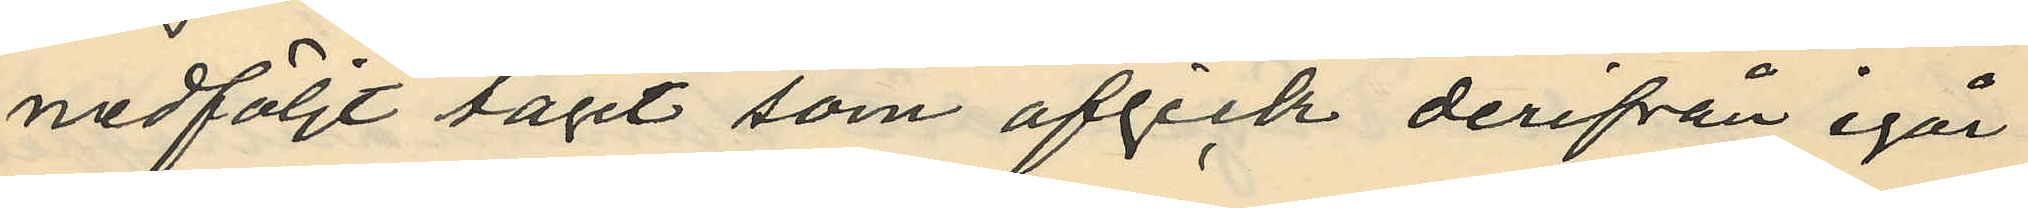medföljt tåget som afgick derifrån igår
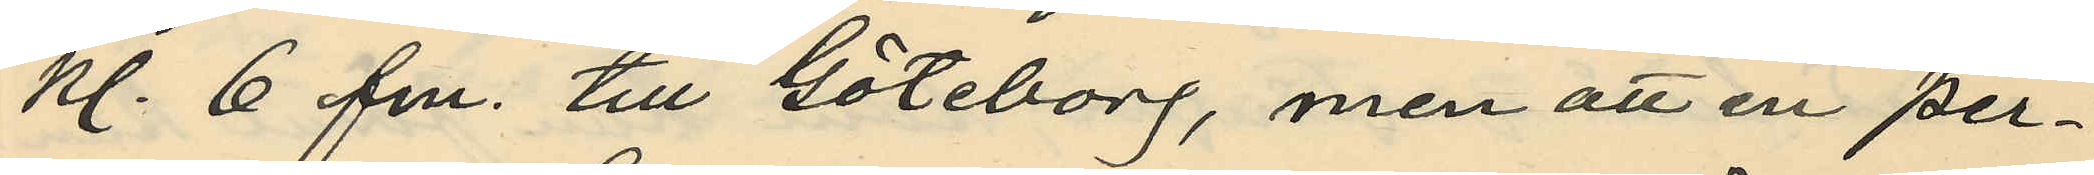kl. 6 fm. till Göteborg, men att en per¬
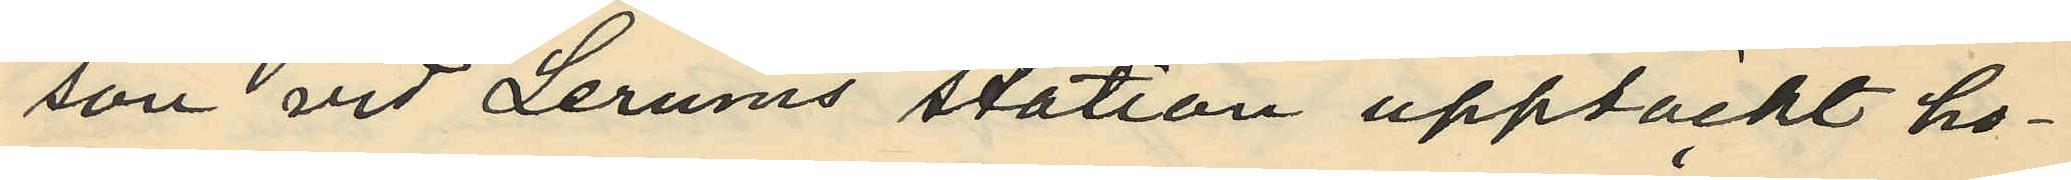son vid Lerums station upptäckt ho¬
